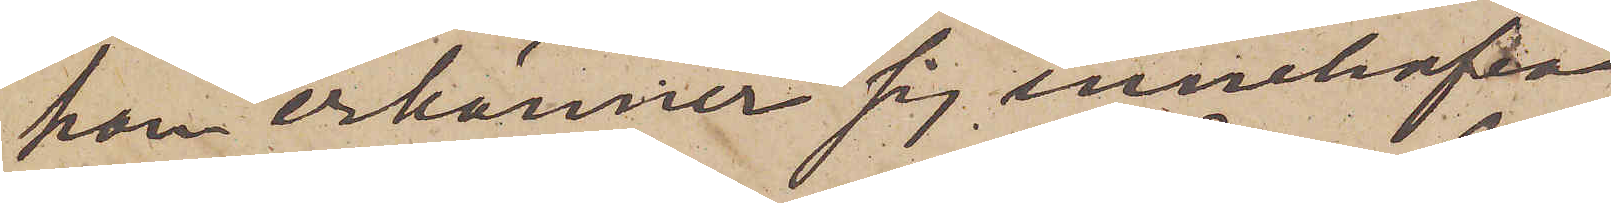han erkänner sig innehafva
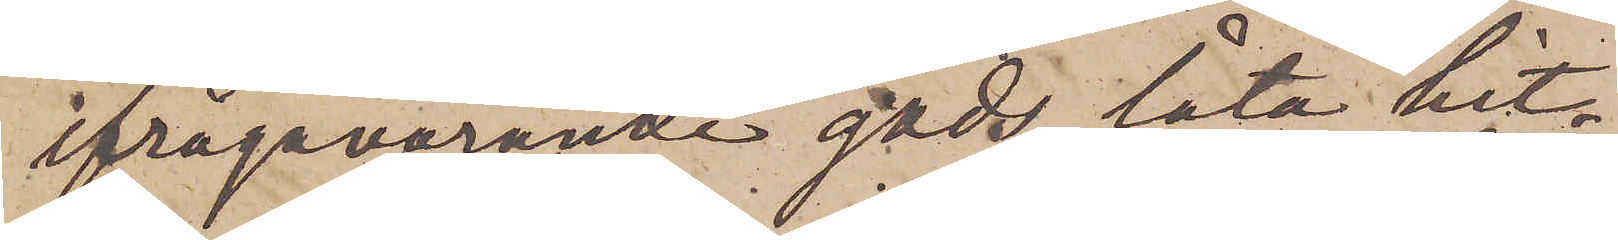ifrågavarande gods, låta hit¬
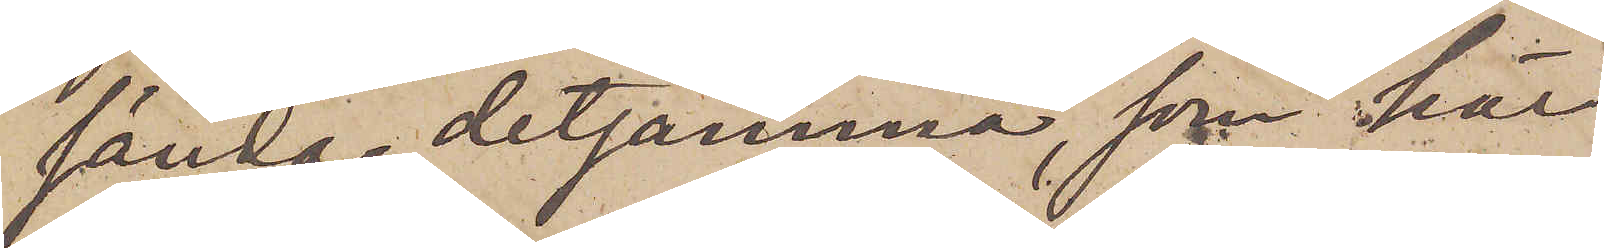sända detsamma, som här
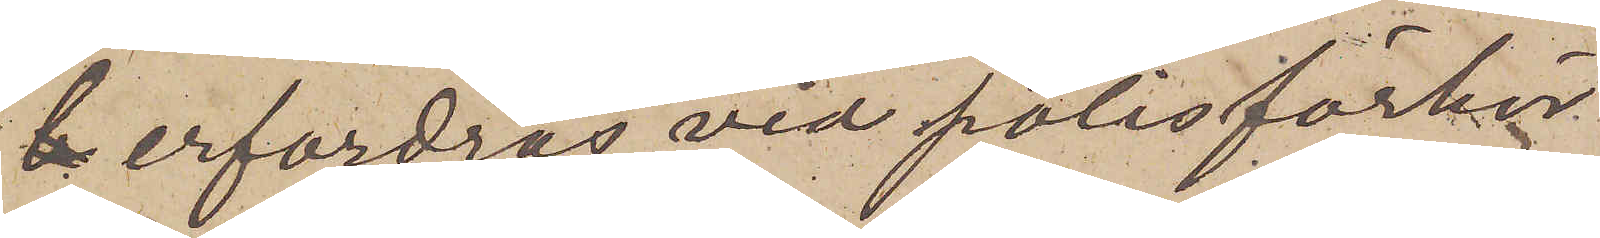erfordras vid polisförhör
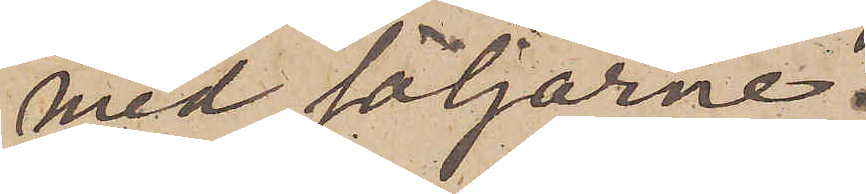med säljarne.
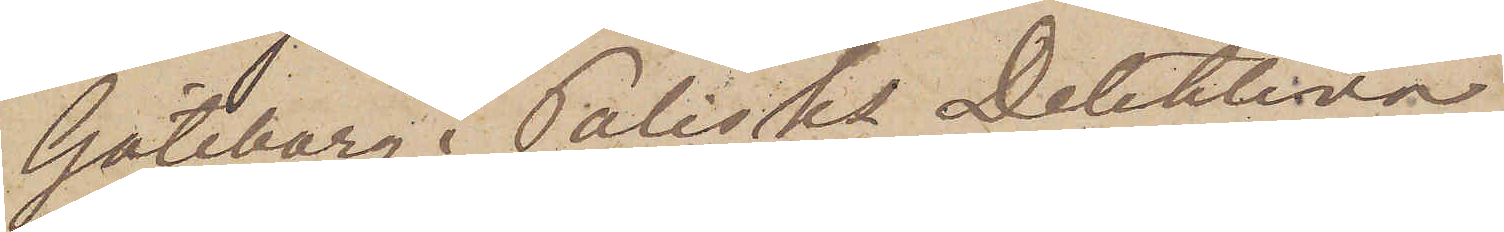Göteborg i Polisks Detektiva
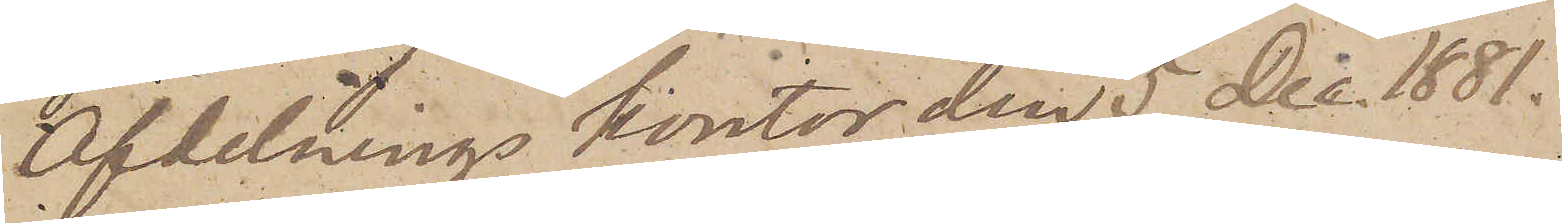Afdelnings kontor den 5 Dec 1881.
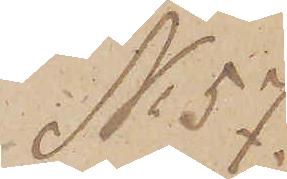No 57
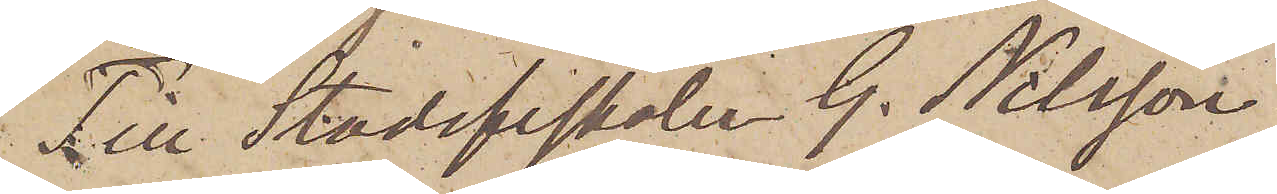Till Stadsfiskalen G. Nilsson
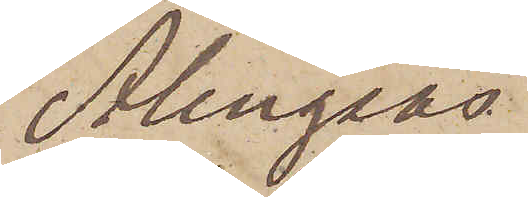Alingsås
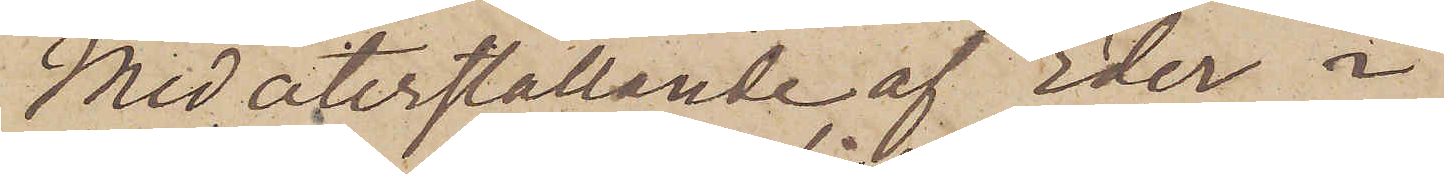Med återställande af Eder i
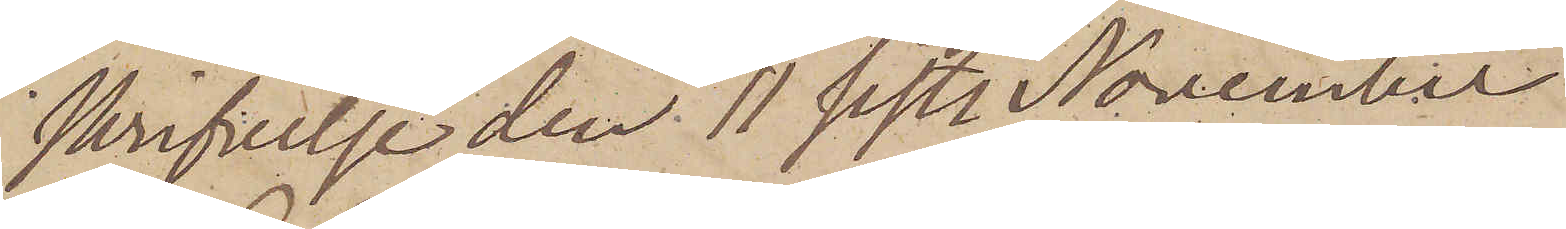skrifvelse den 11 sistl. November
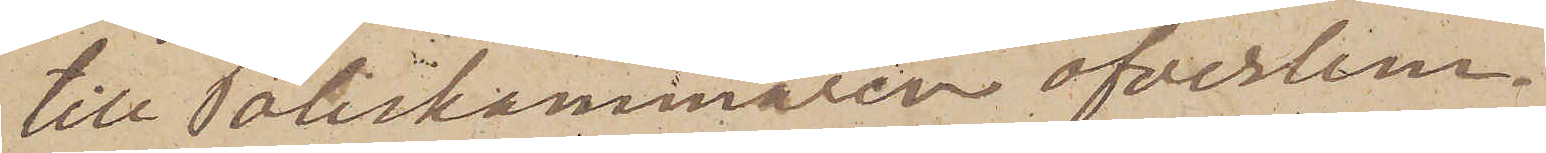till Poliskammaren öfverlem¬
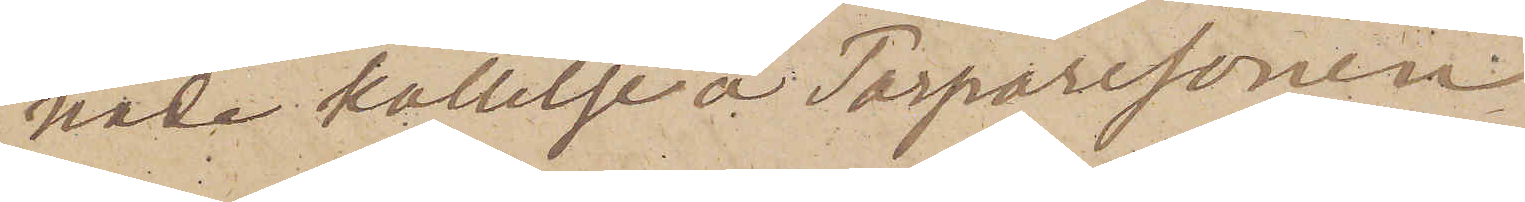nade kallelse å Torparesonen
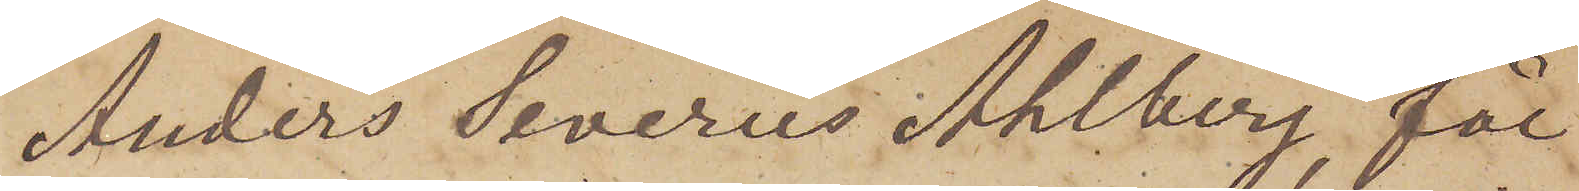Anders Severus Ahlberg, får
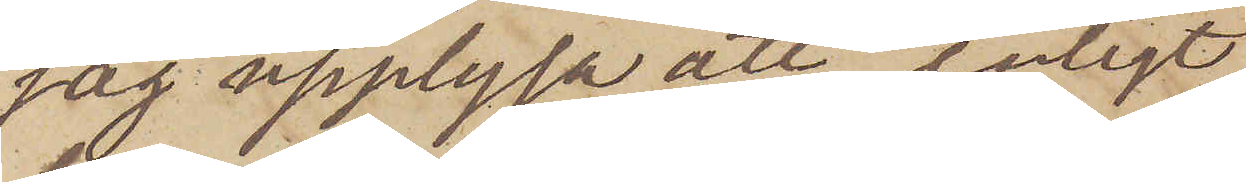jag upplysa att, enligt
